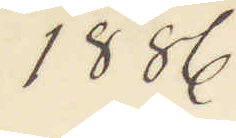1886
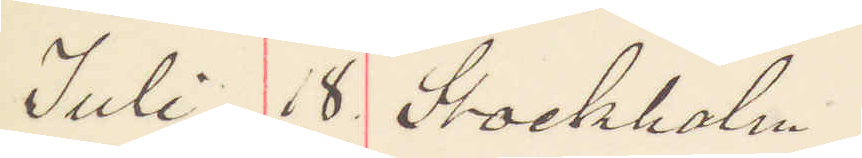Juli 18. Stockholm
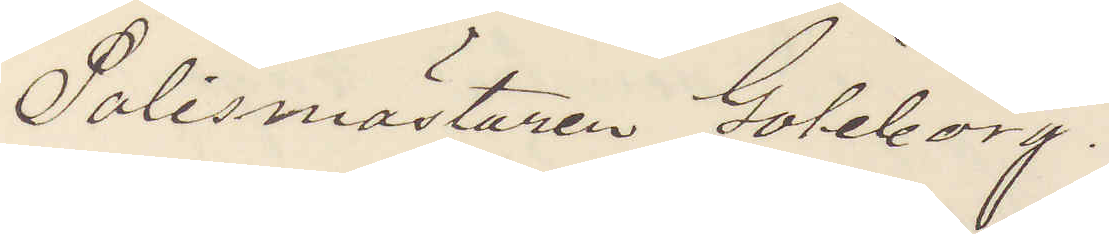Polismästaren Göteborg.
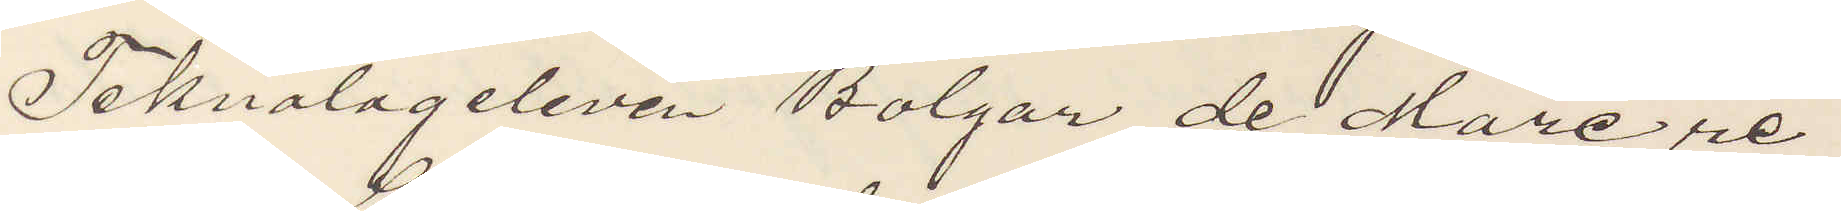Teknologeleven Bolgar de Mare re¬
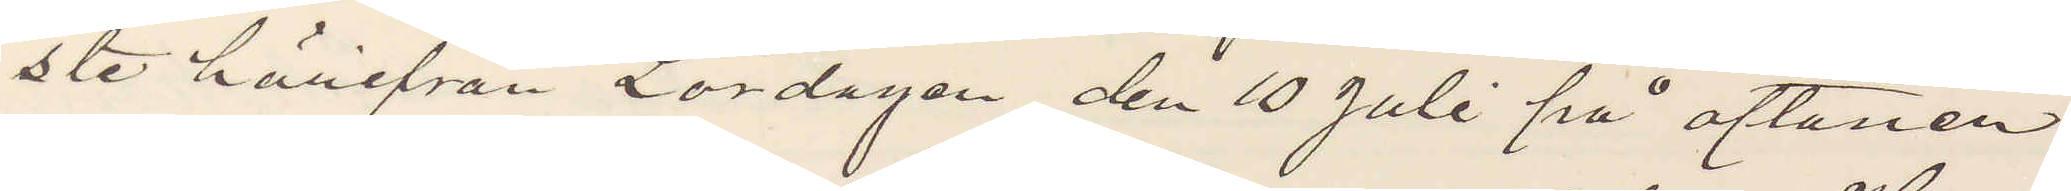ste härifrån Lördagen den 10 Juli på aftonen
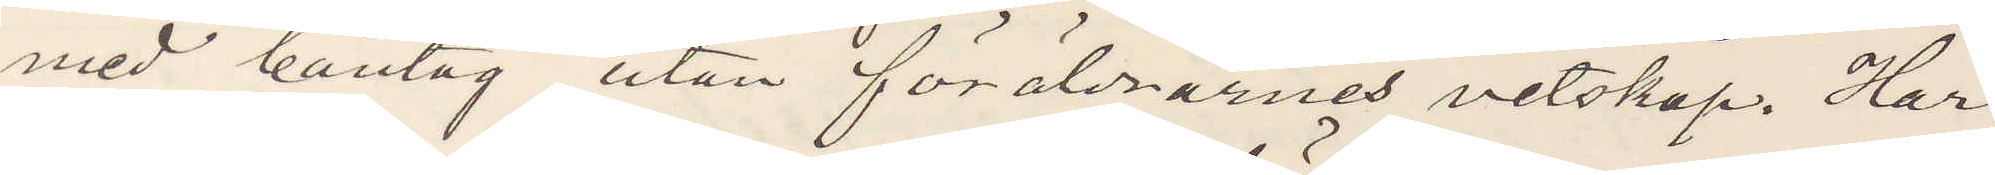med bantåg utan föräldrarnes vetskap. Har
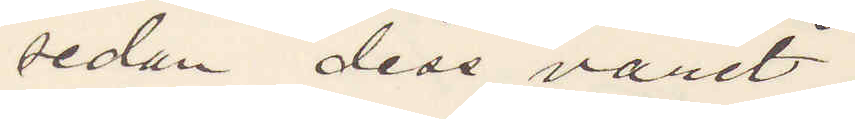sedan dess varit
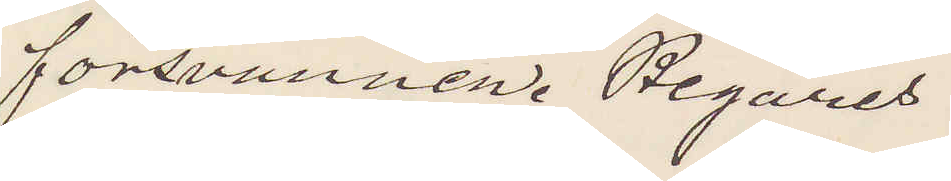försvunnen. Begäres
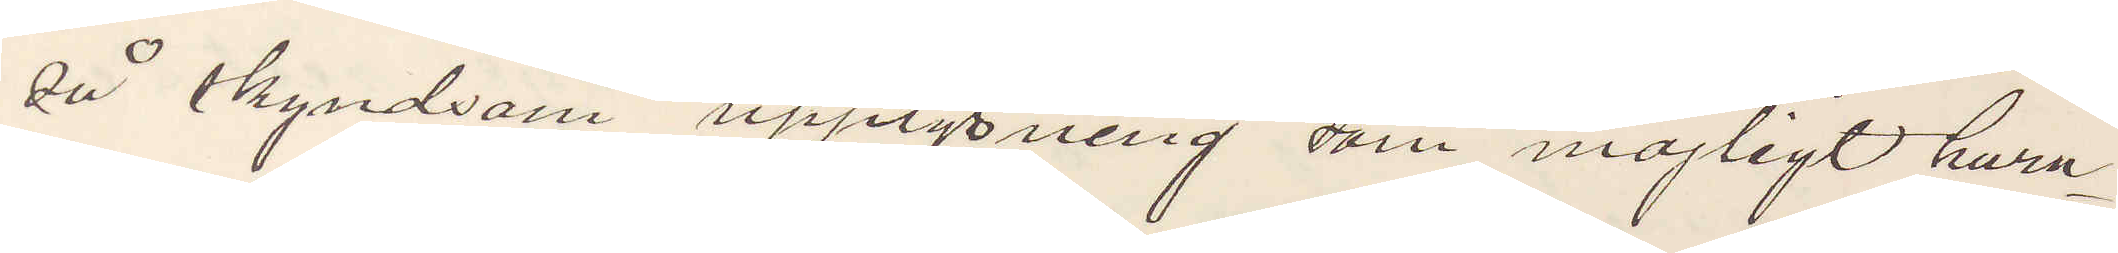så skyndsam upplysning som möjligt huru
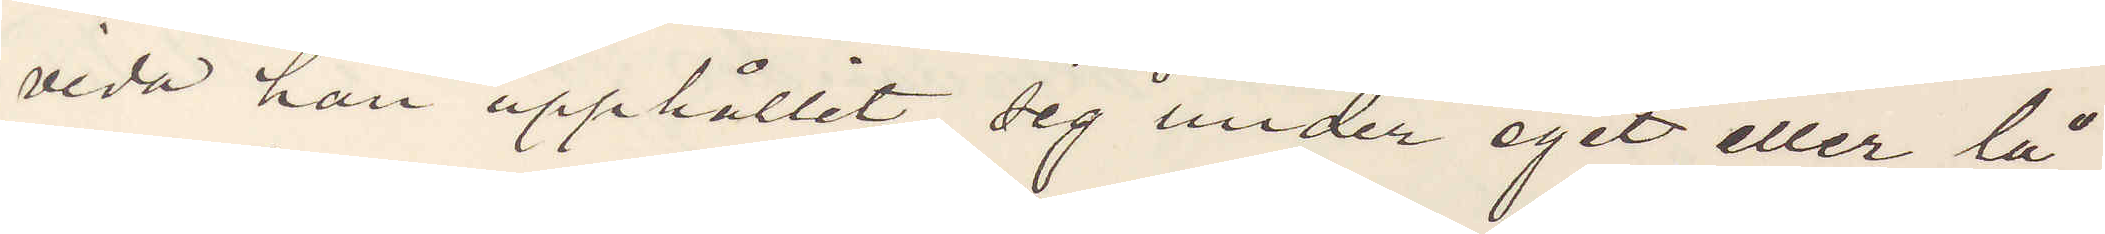vida han upphållit sig under eget eller lå¬
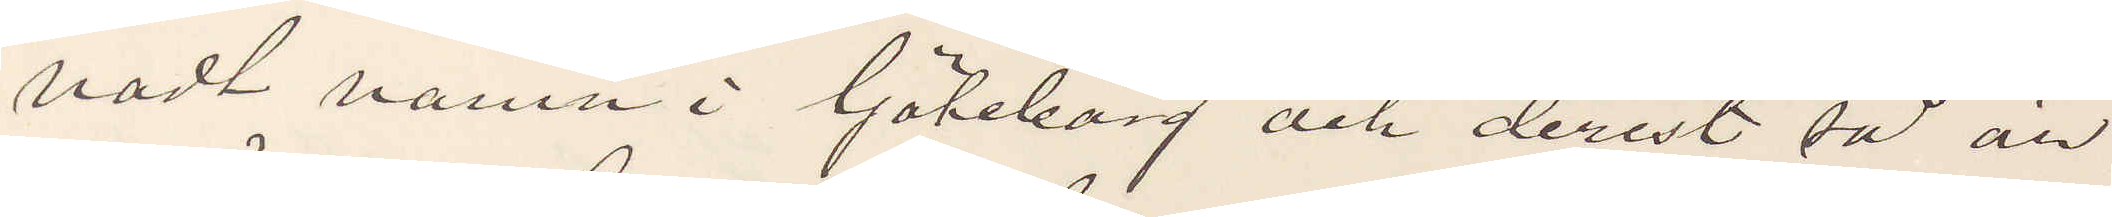nadt namn i Göteborg och derest så är
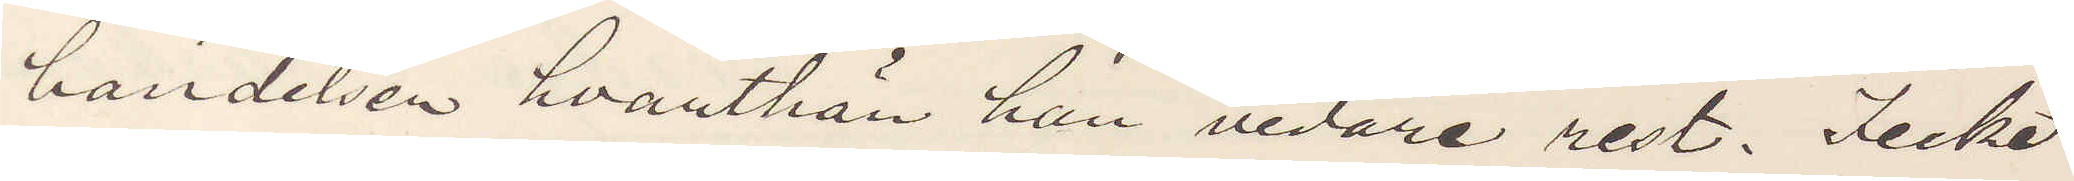händelsen hvarthän han vidare rest. Icke
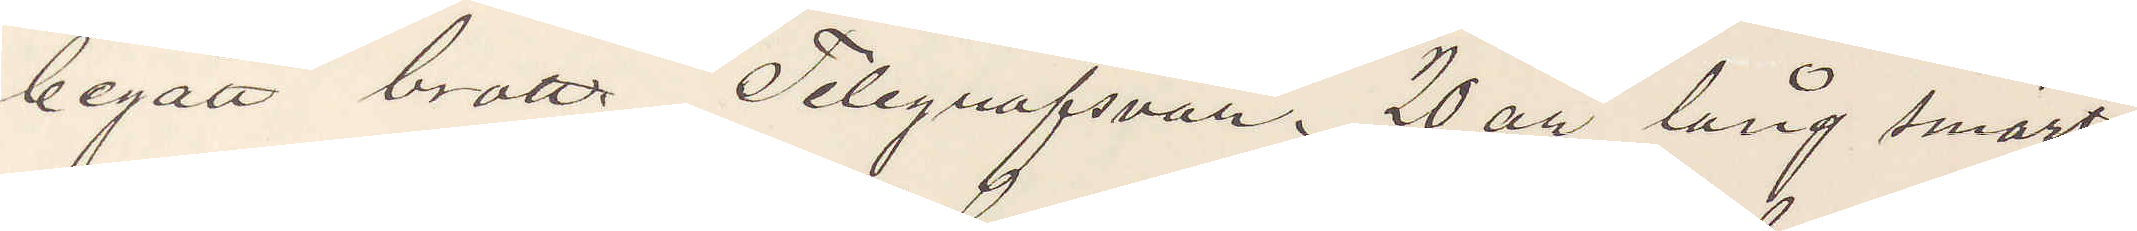begått brott Telegrafsvar. 20 år lång smärt
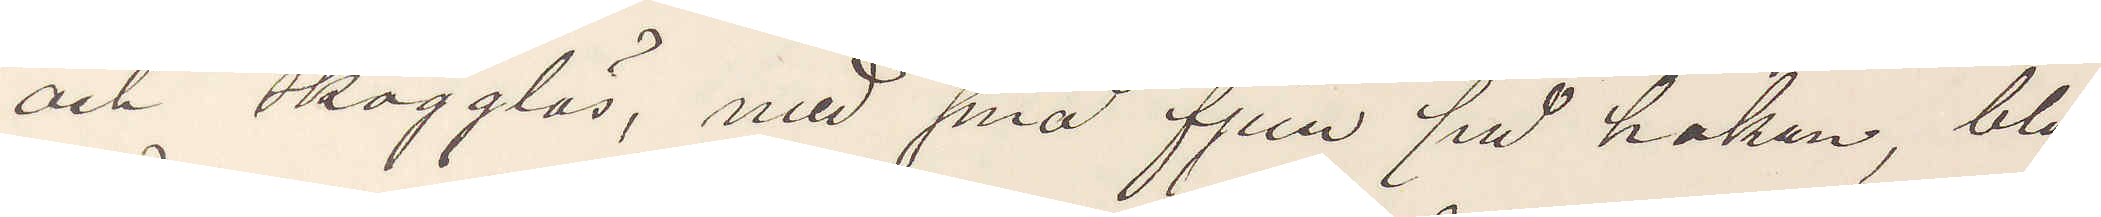och skägglös, med små fjun på hakan, blå
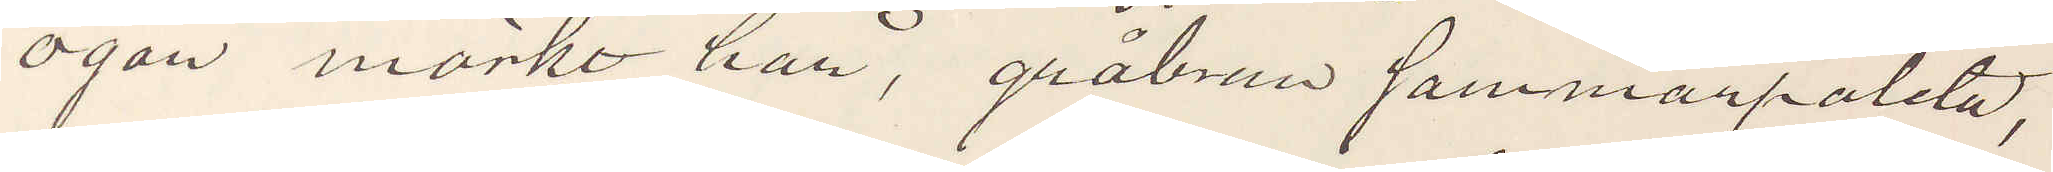ögon mörkt hår, gråbrun sammanpaletå,
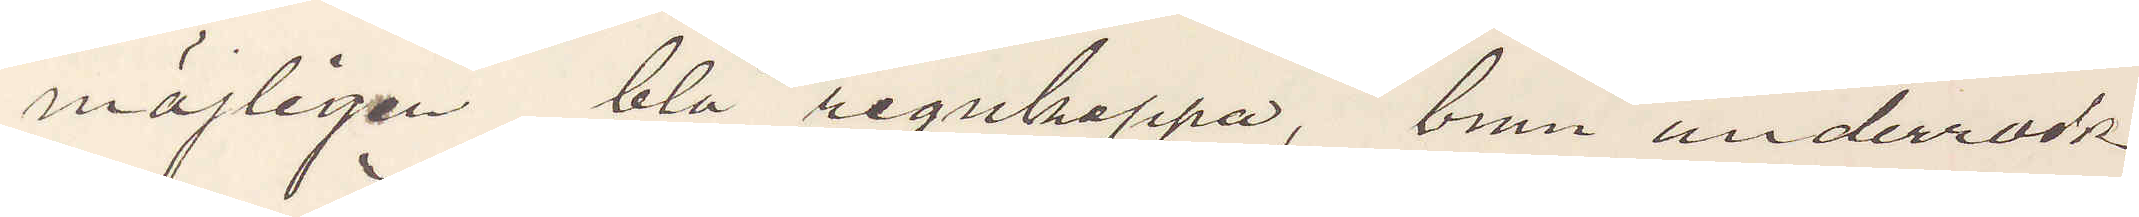möjligen blå regnkappa, brun underrock
